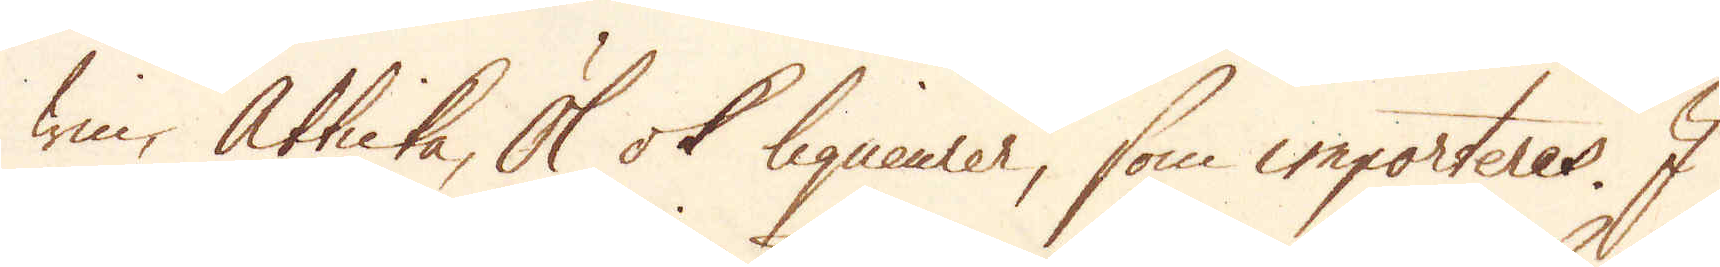win, Ätticka, Öl ok liqueurer, som importeres. I
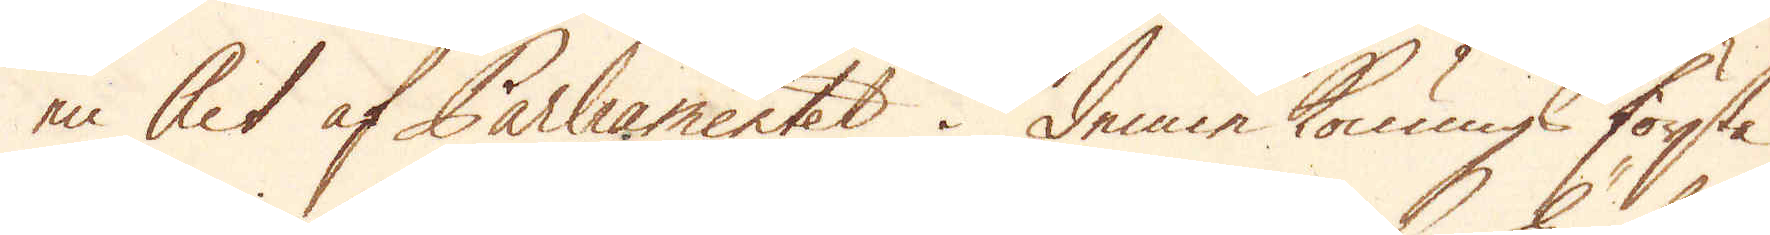en Act af Parliamentet i denne Konungs första
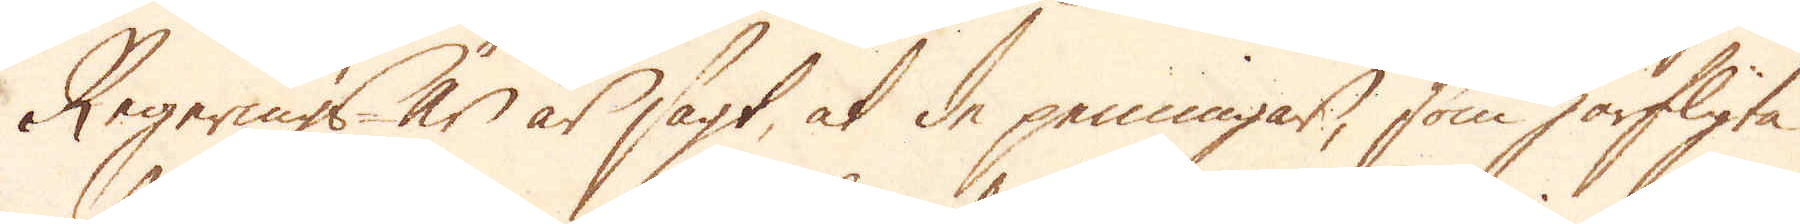Regerings år är sagt, at de penningar, som härflyta
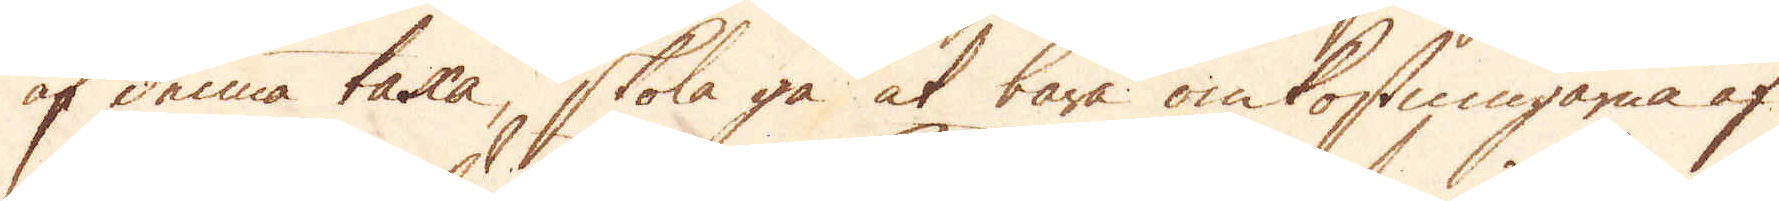af denna taxa, skola gå at bära omkostningarne af
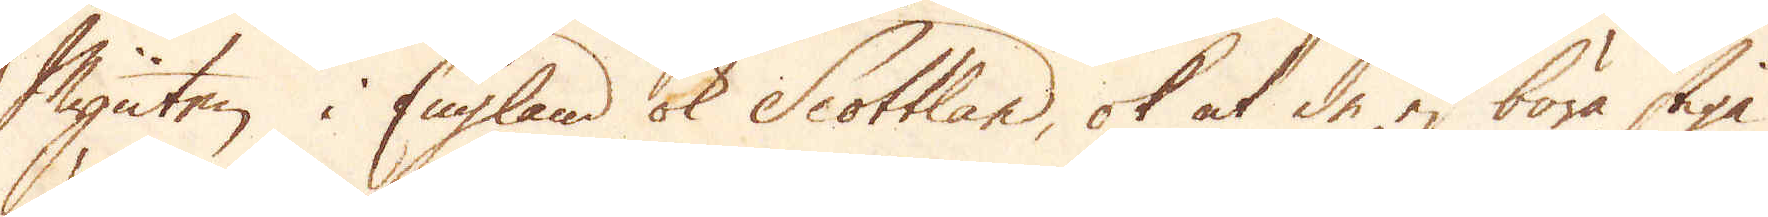Mynten i England ok Scottland, ok at de ej böra stiga
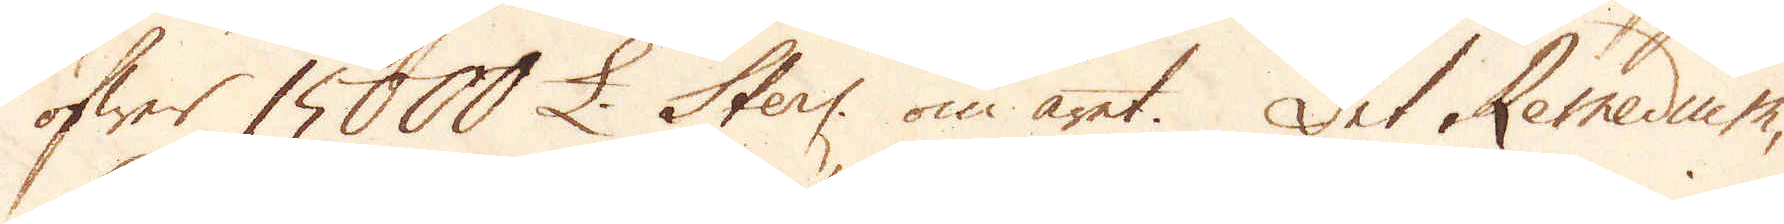öfwer 15000 £. Sterl: om året. Det Remedium,
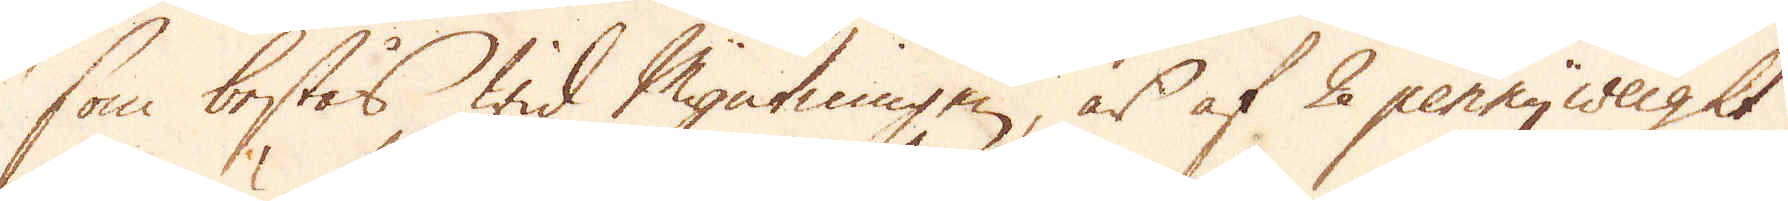som bestås wid Myntningen, är af 2 pennyweight
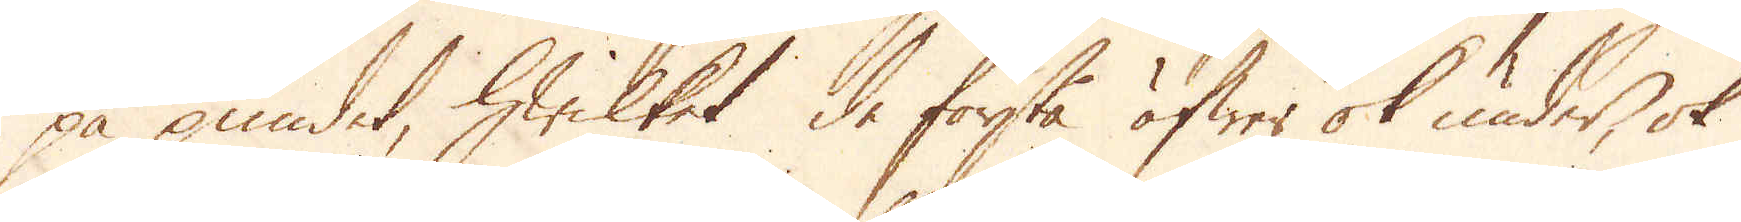på pundet, hwilket de förstå öfwer ok under, ok
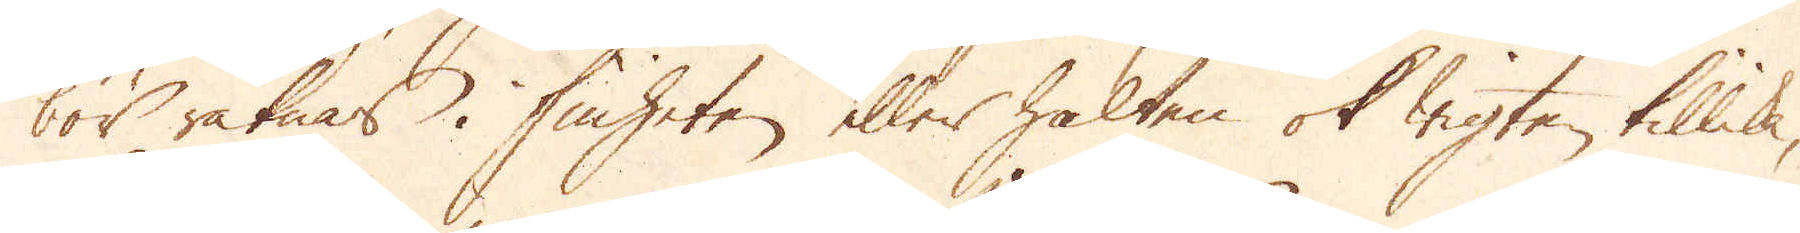bör räknas i finheten eller halten ok wigten tillika,
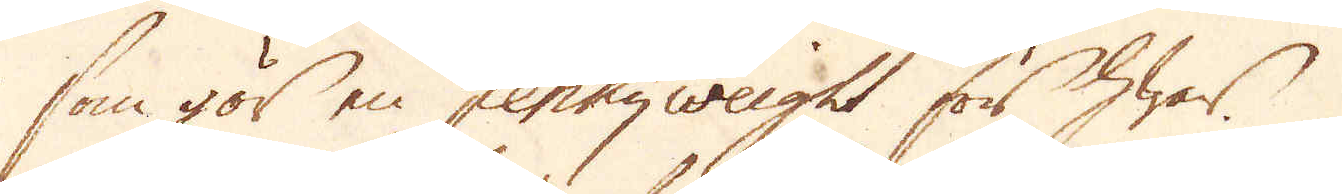som gör en pennyweight för hwar.
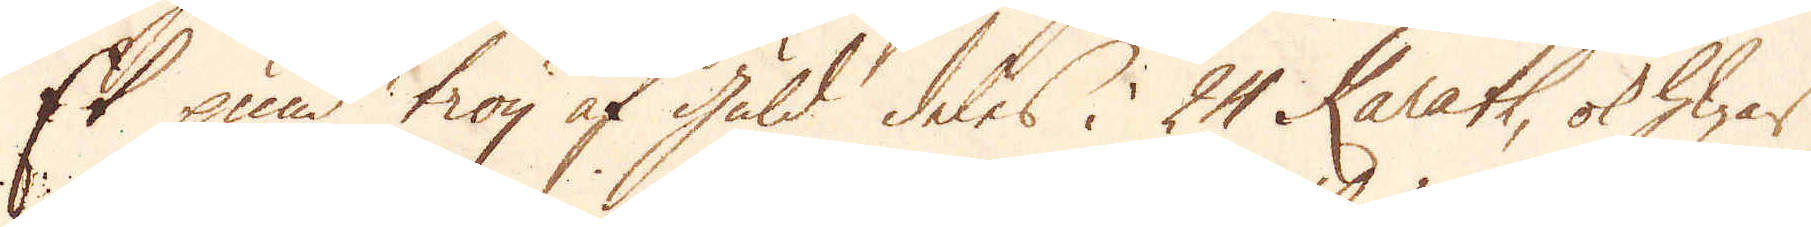Et pund troy af guld deles i 24 Karath, ok hwar
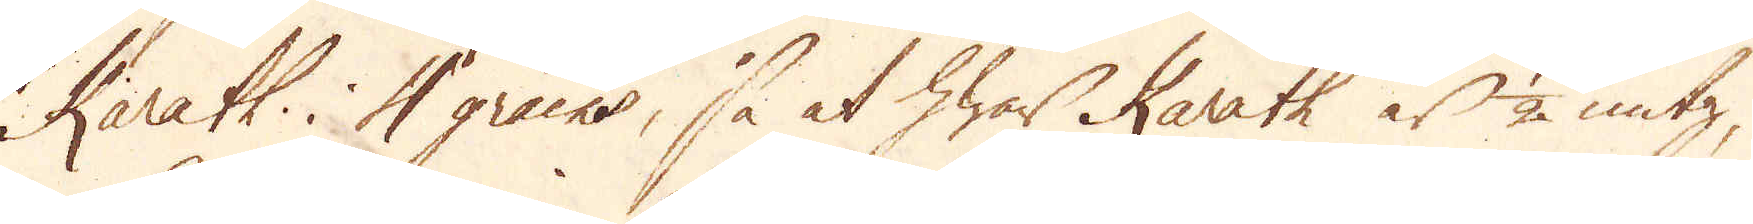Karath i 4 grains, så at hwar Karath är 1/2 untz,
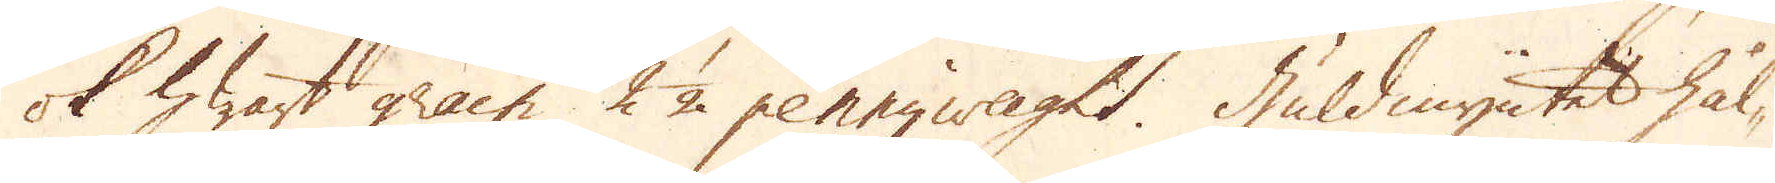ok hwart grain 2 1/2 pennyweight. Huldmyntet hål-
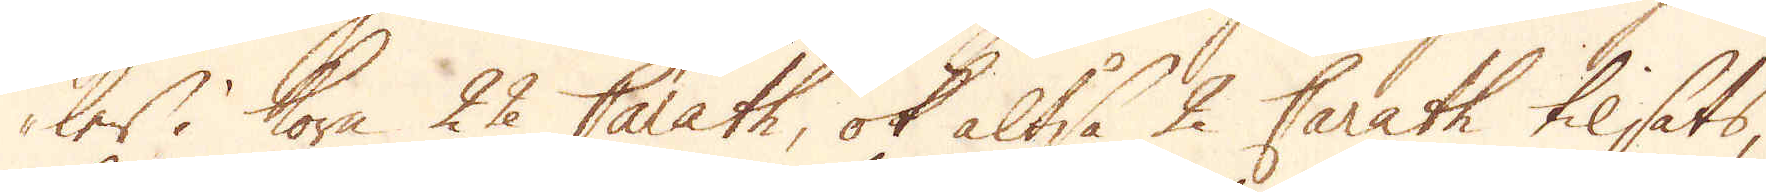ler i kora 22 Carath, ok altså 2 Carath tilsats,
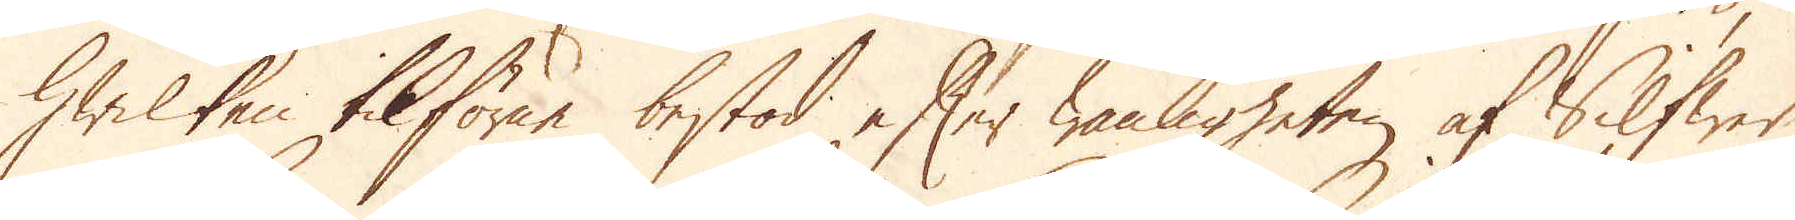hwilken tilförne bestod efter wanligheten af Silfwer
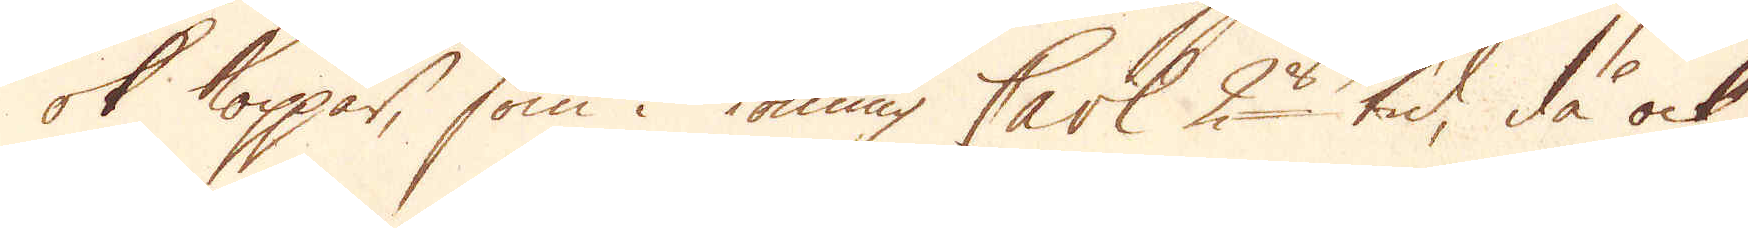ok koppar, som i Konung Carl 2 tid, då ock
